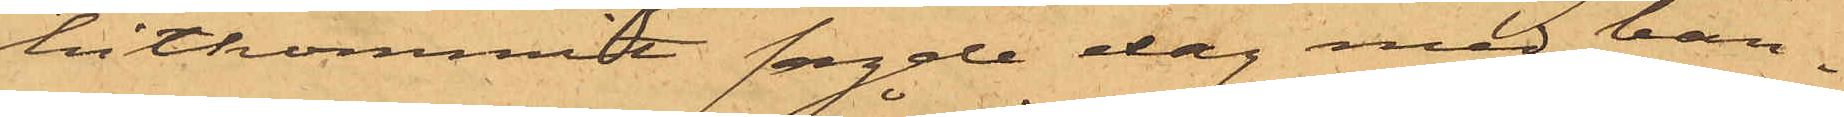hitkommit sagde dag med ban¬
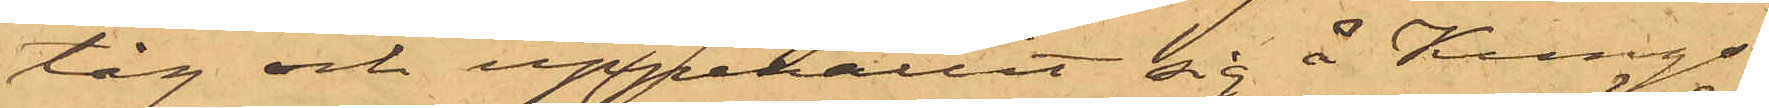tåg och upppehållit sig å Kungs¬
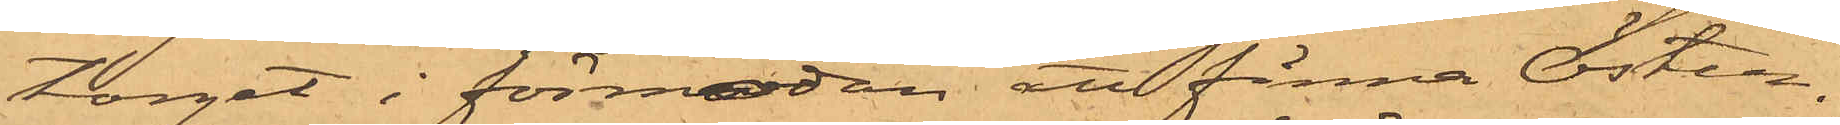torget i förmodan att finna Öster¬
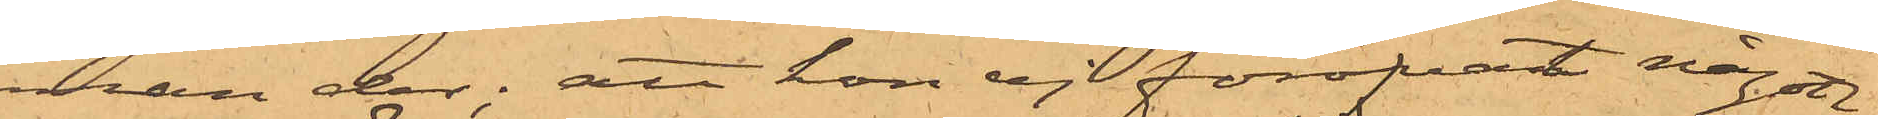man der; att hon ej föröfvat någon
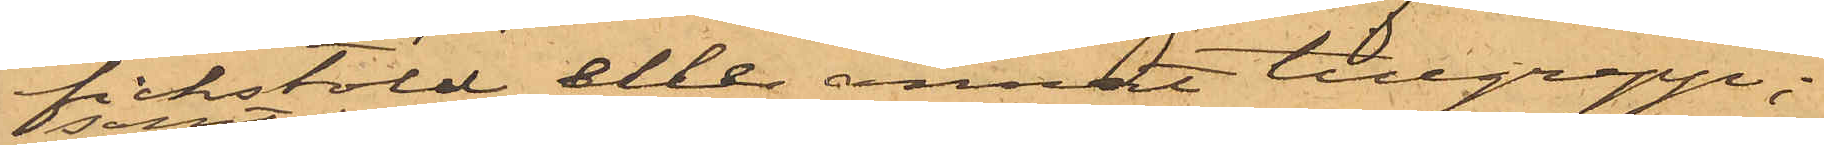fickstöld eller annat tillgrepp;
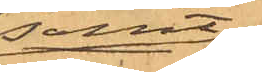samt
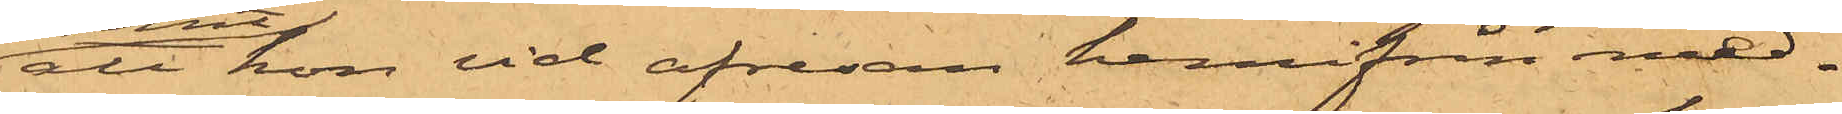att hon vid afresan hemifrån med¬
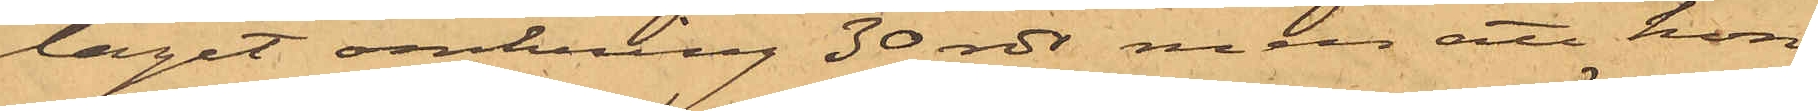tagit omkring 30 rdr, men att hon
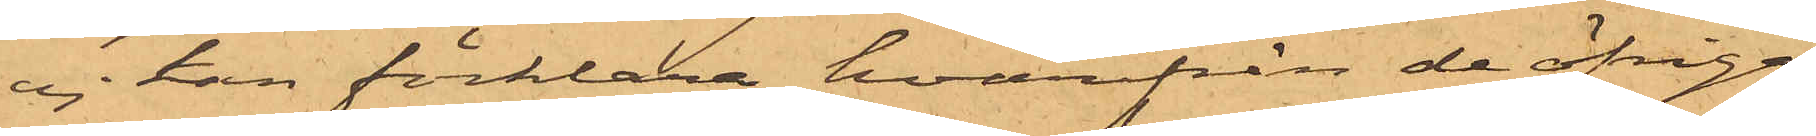ej kan förklara, hvarifrån de öfriga
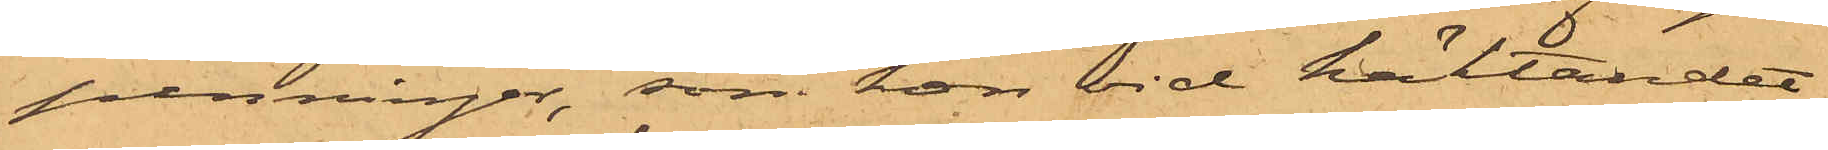penningar, som hon vid häktandet
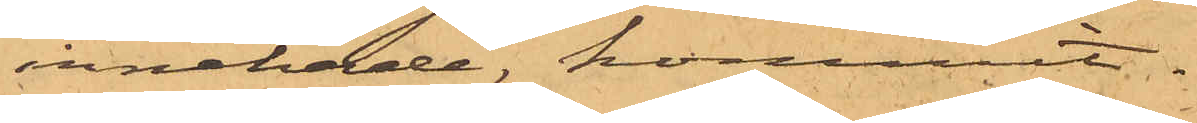innehade, kommit.
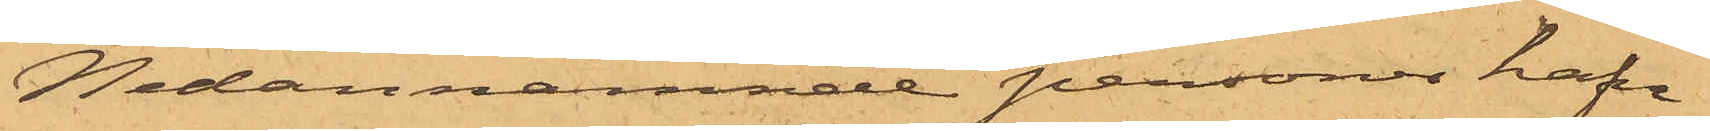Nedannämnde personer hafva
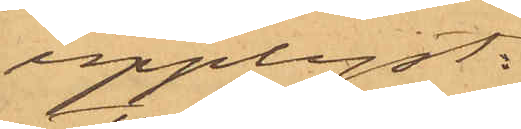upplyst:
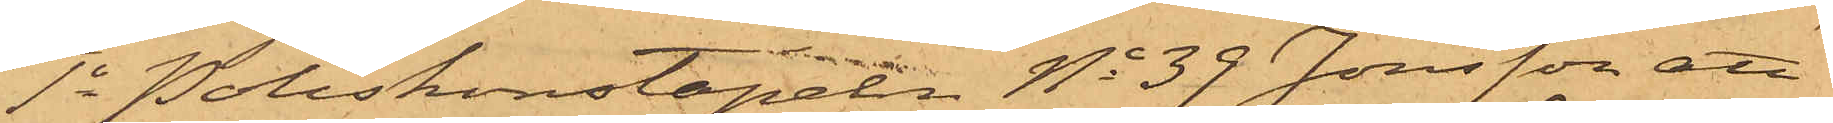1o Poliskonstapeln No 39 Jonsson att
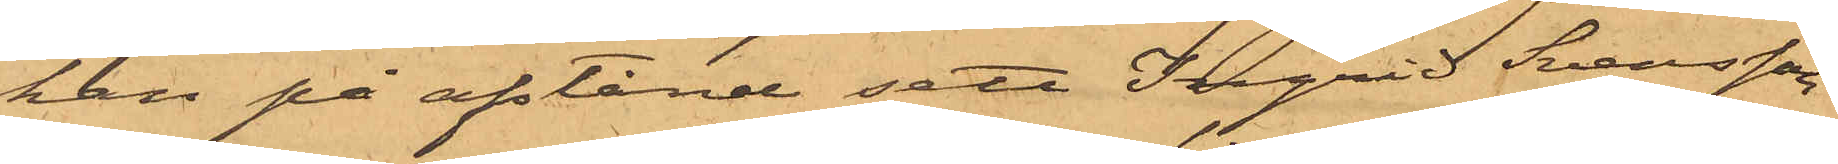han på afstånd sett Ingrid Svensson
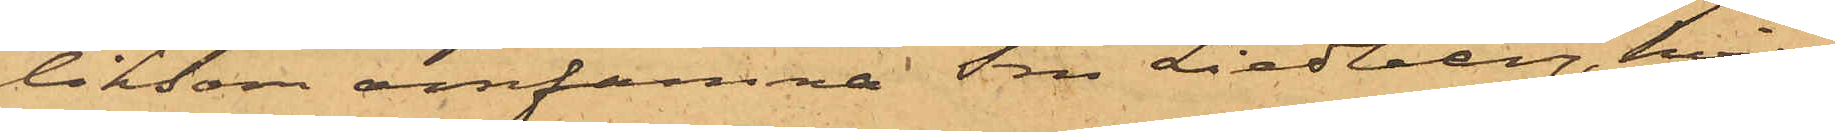liksom omfamna Fru Liedberg, hvil¬
